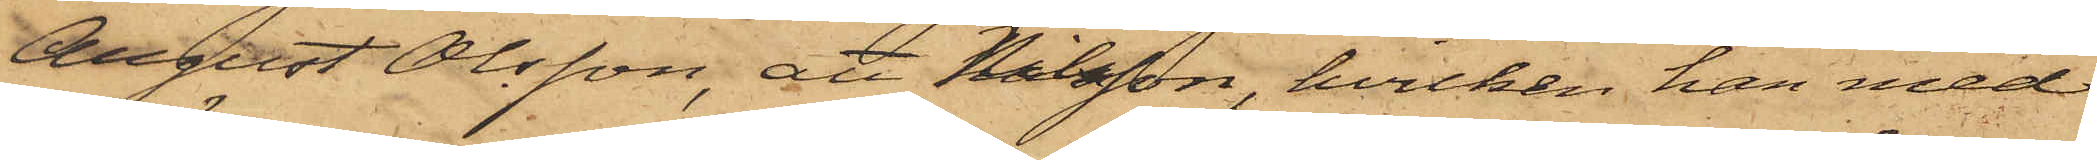August Olsson, att Nilsson, hvilken han med
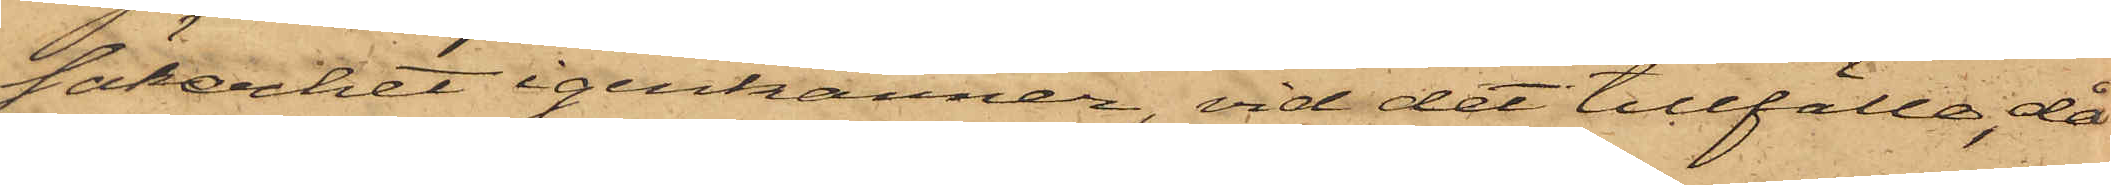säkerhet igenkänner, vid det tillfälle, då
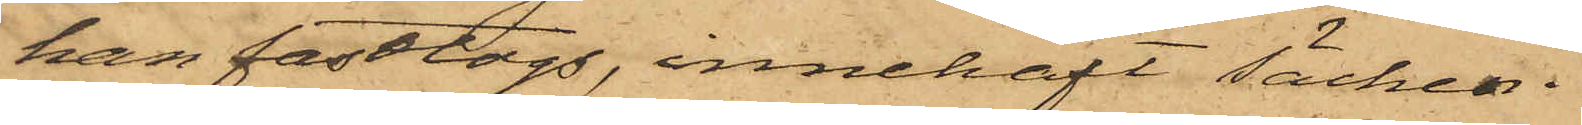han fasttogs, innehaft säcken.
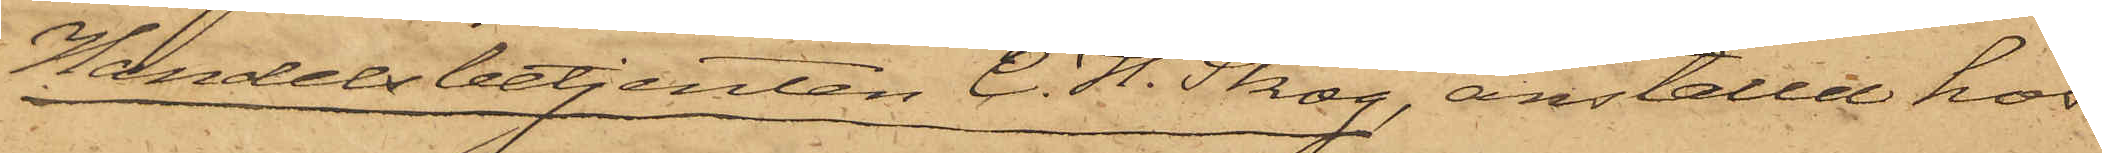Handelsbetjenten C. H. Skog, anställd hos
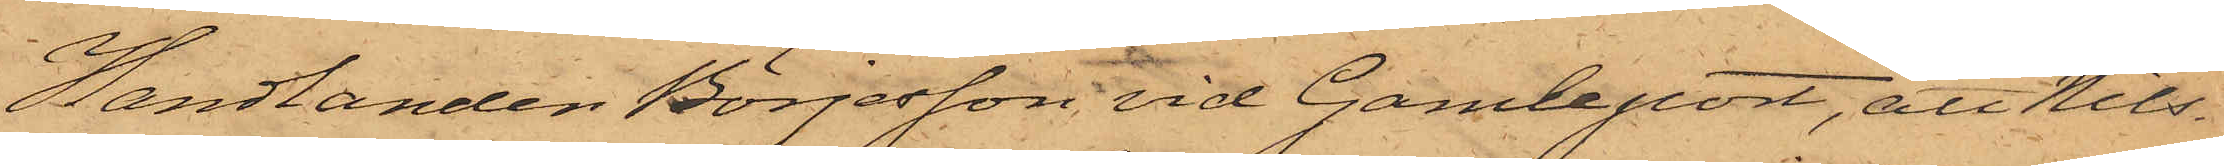Handlanden Börjesson vid Gamleport, att Nils¬
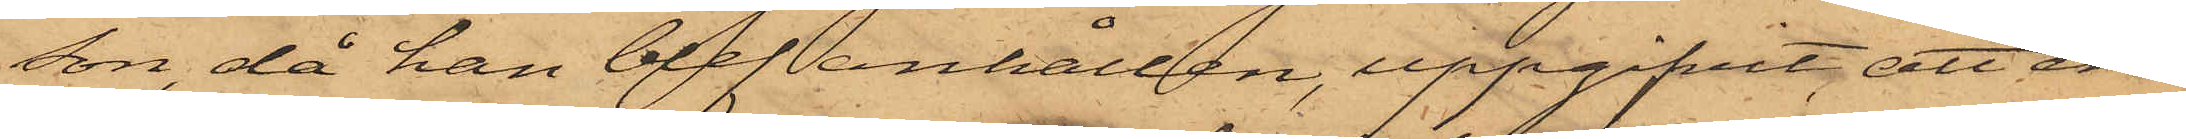son, då han blef anhållen, uppgifvit, att en
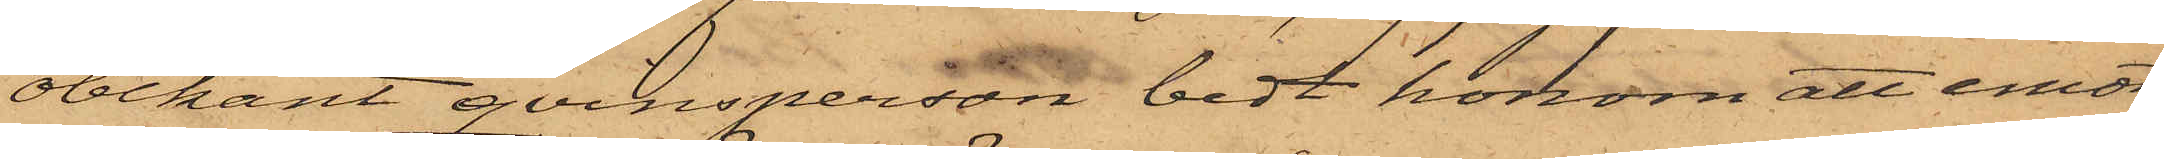obekant qvinsperson bedt honom att emot
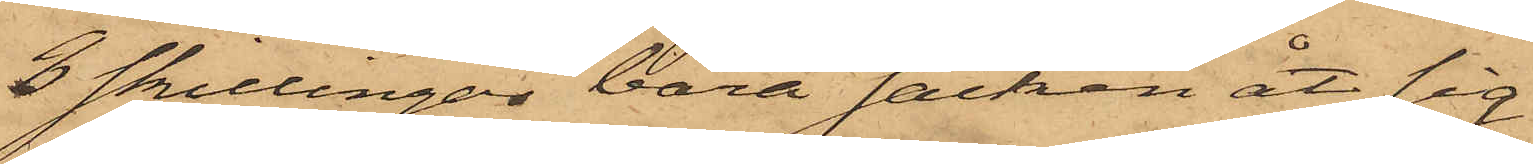3 skillingar bära säcken åt sig.
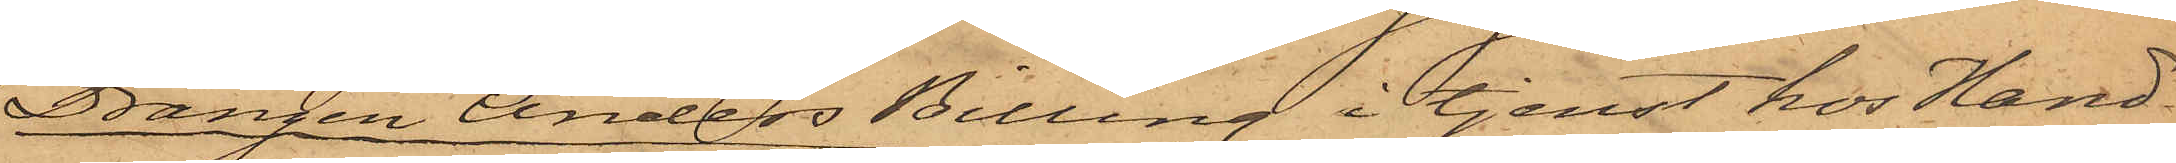Drängen Anders Billing i tjenst hos Hand¬
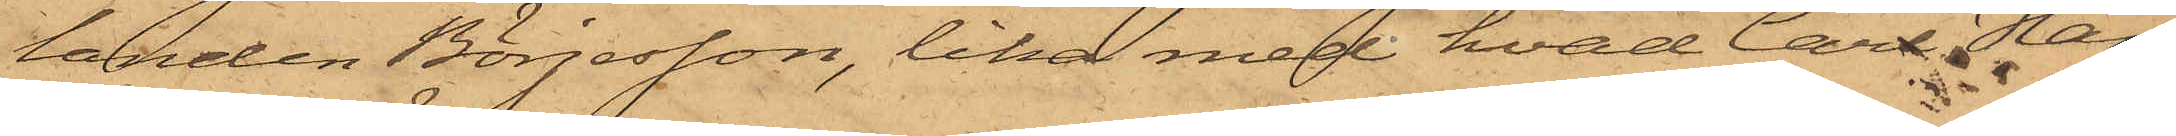landen Börjesson, lika med hvad Carl Hans¬
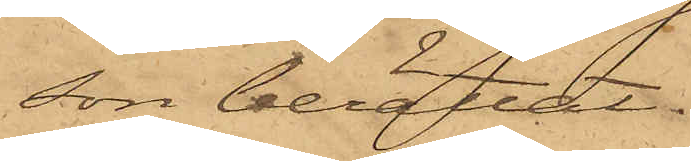son berättat.
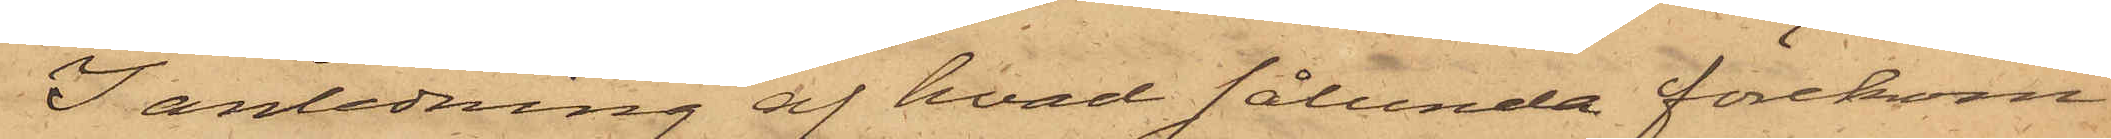I anledning af hvad sålunda förekom¬
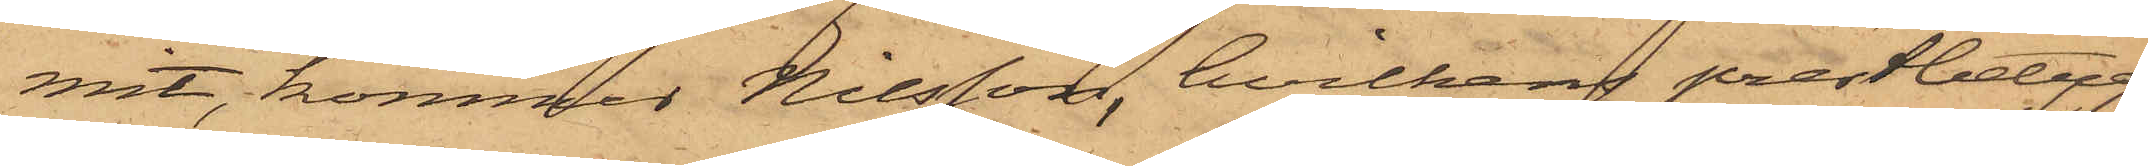mit, kommer Nilsson, hvilkens prestbetyg
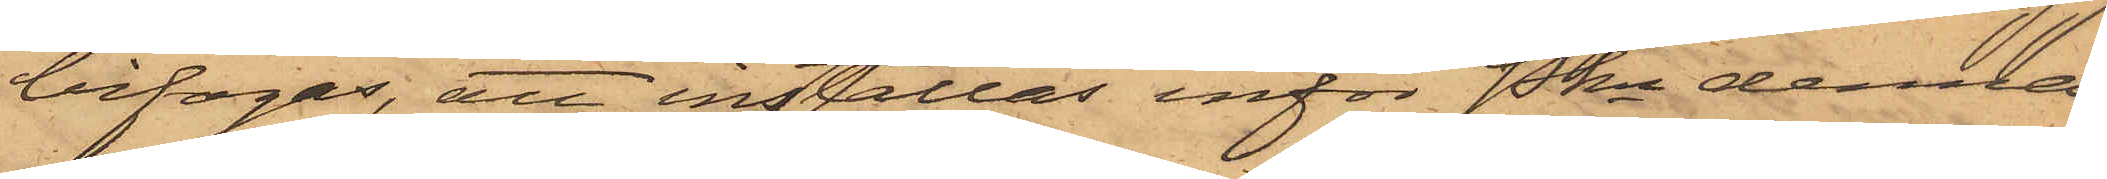bifogas, att inställas inför Pkn denna
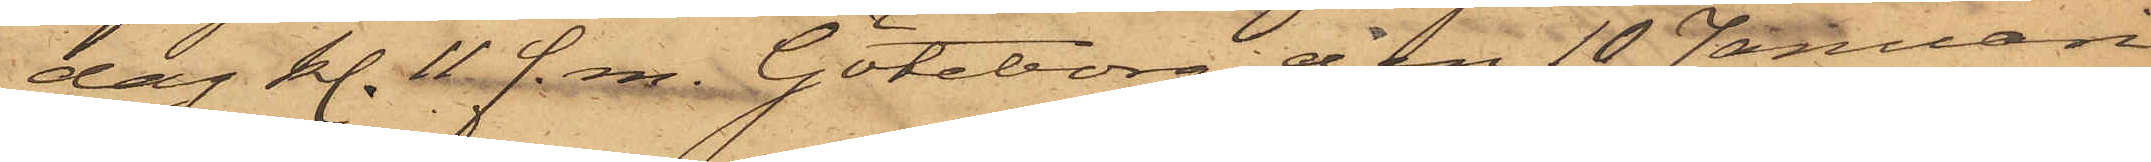dag kl. 11 f.m. Göteborg den 10 Januari
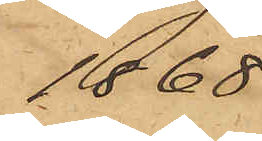1868.
